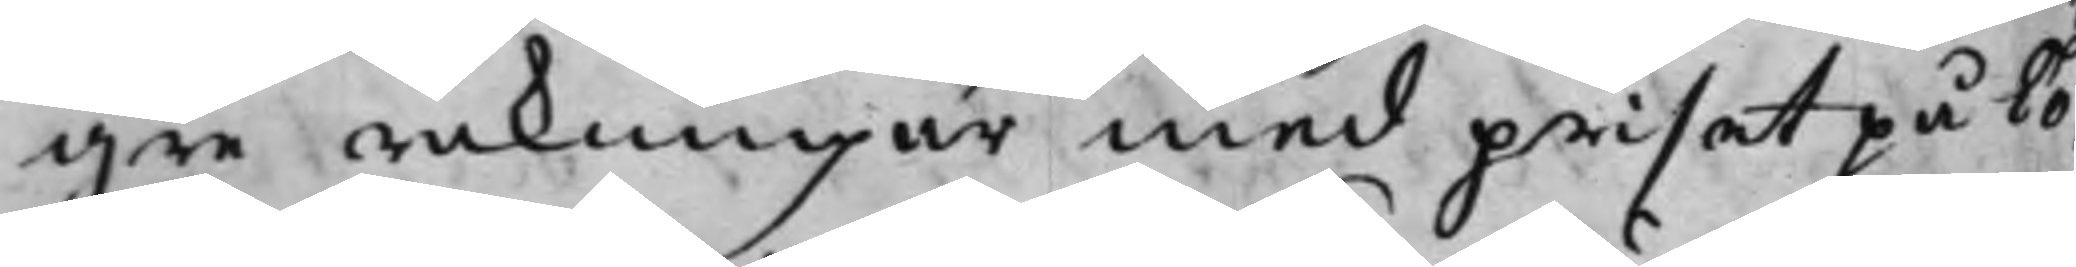gre räkningar med priset på To¬
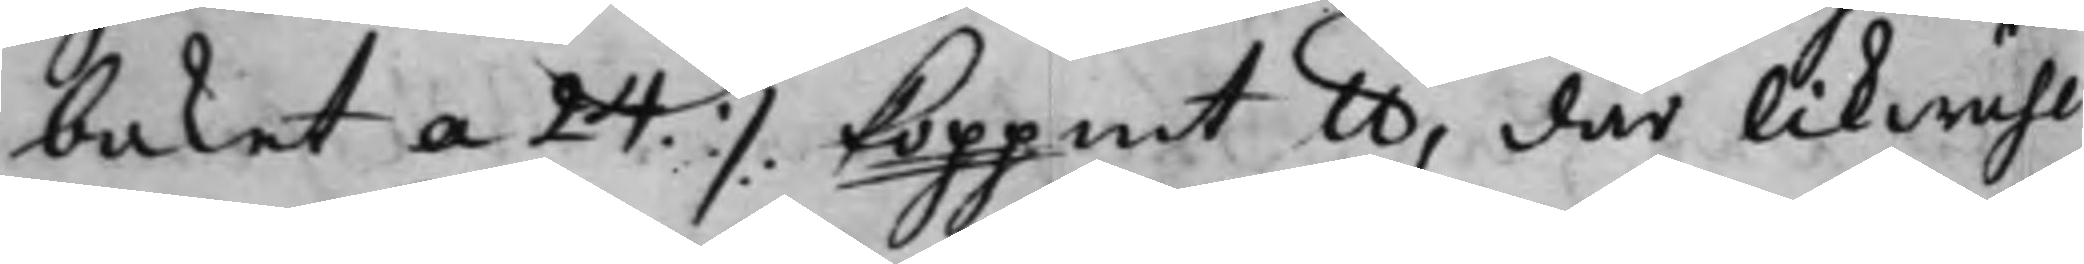baket a 24 ./. Koppmt lb, där likwähl
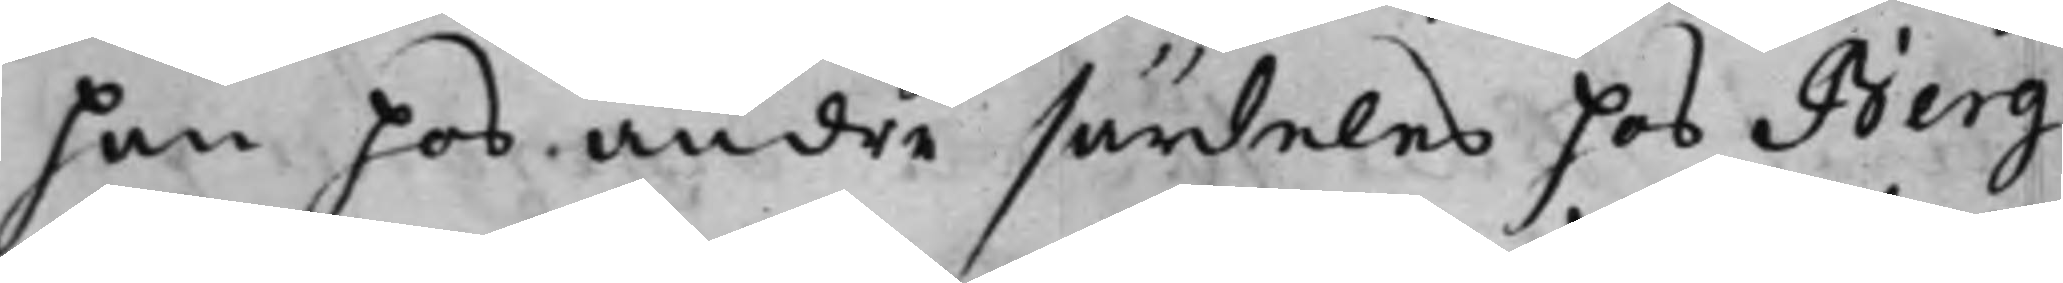han hos andre särdeles hos Berg¬
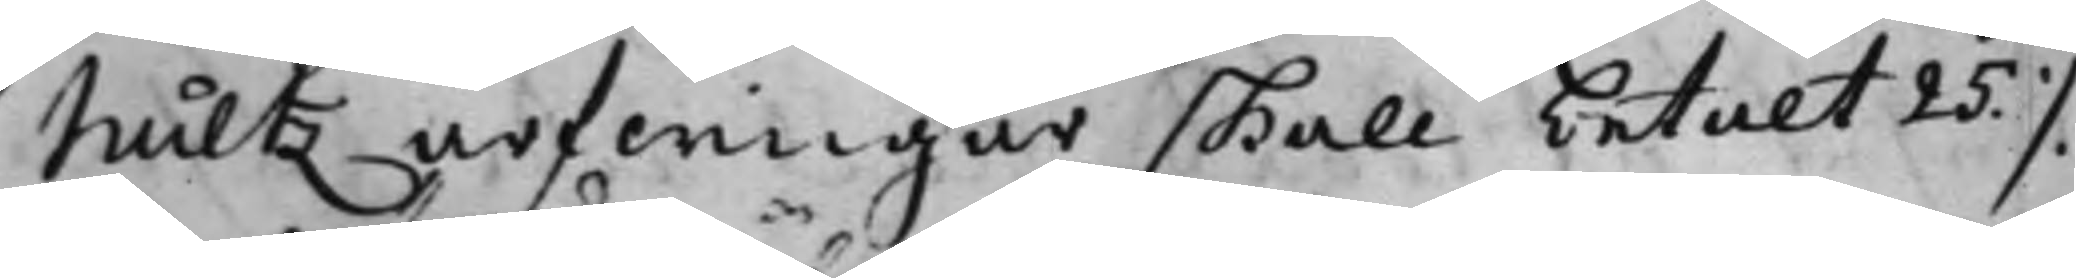hultz arfwingar skall betalt 25 ./.
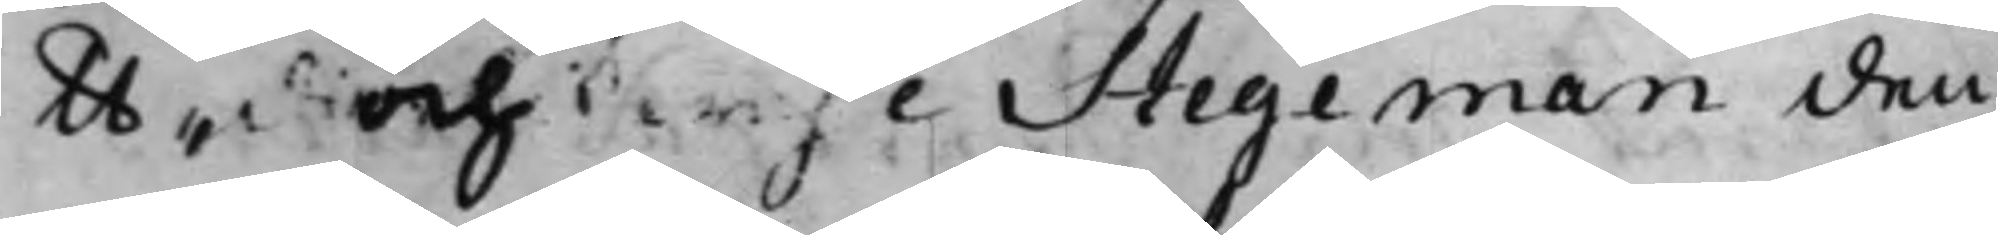lb, och likwähl Stegeman den¬
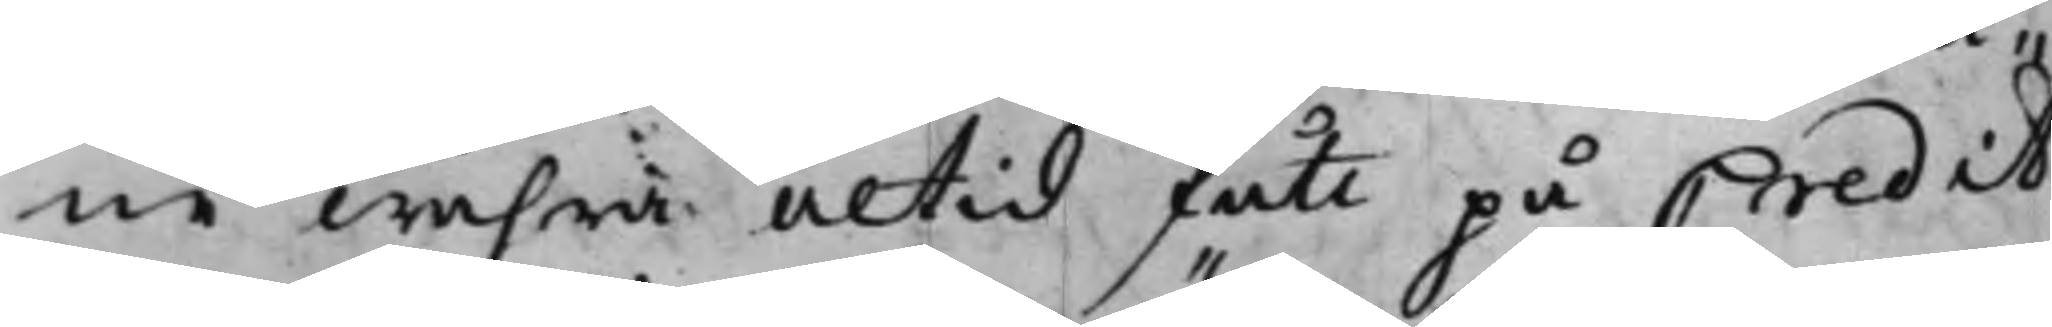ne wahra altid fått på Credit.
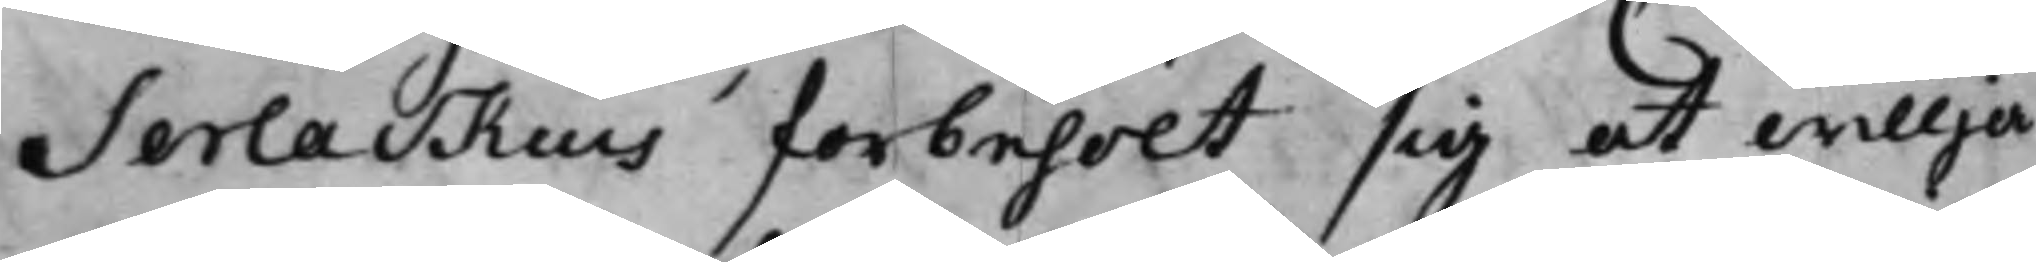Serlackius forbehölt sig at willja
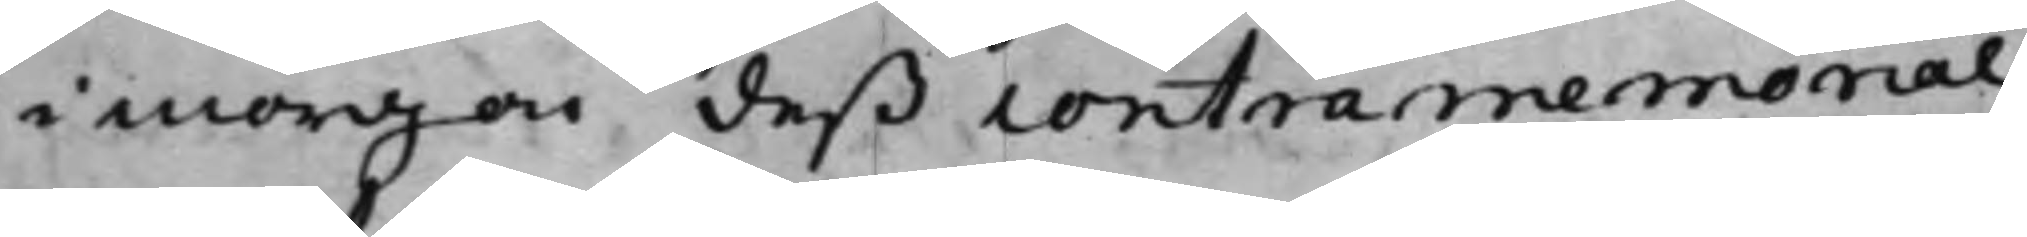i morgon deß contramemorial,
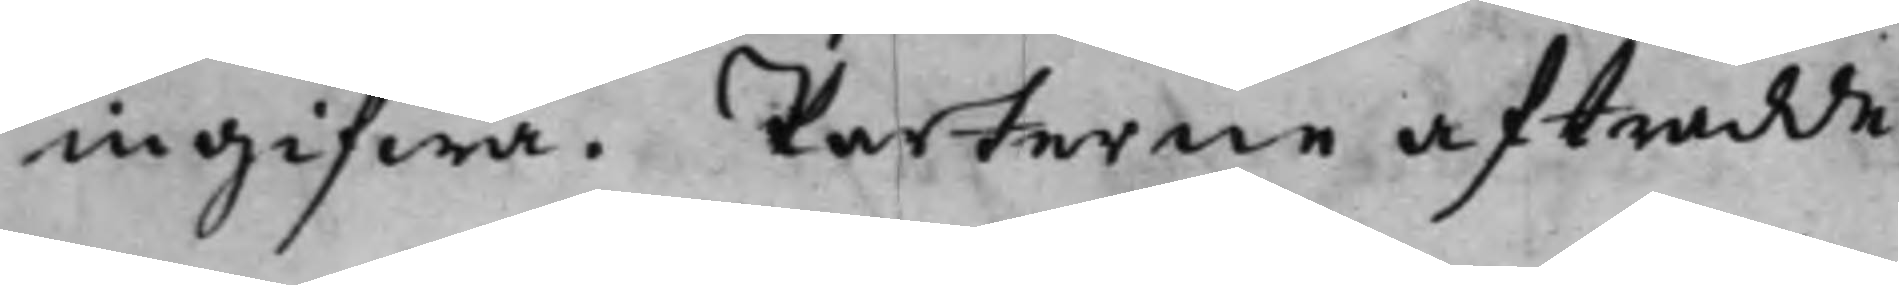ingifwa. Parterne afträdde.
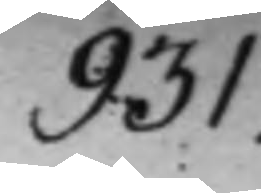931.
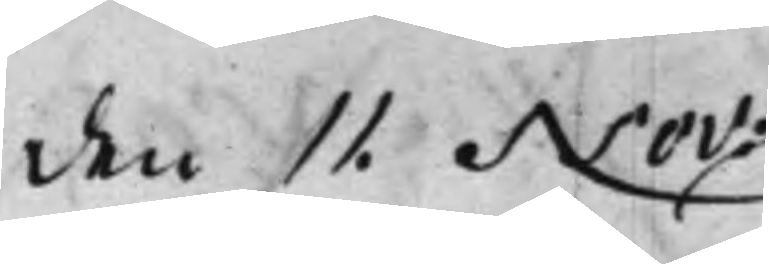den 11. Nov:
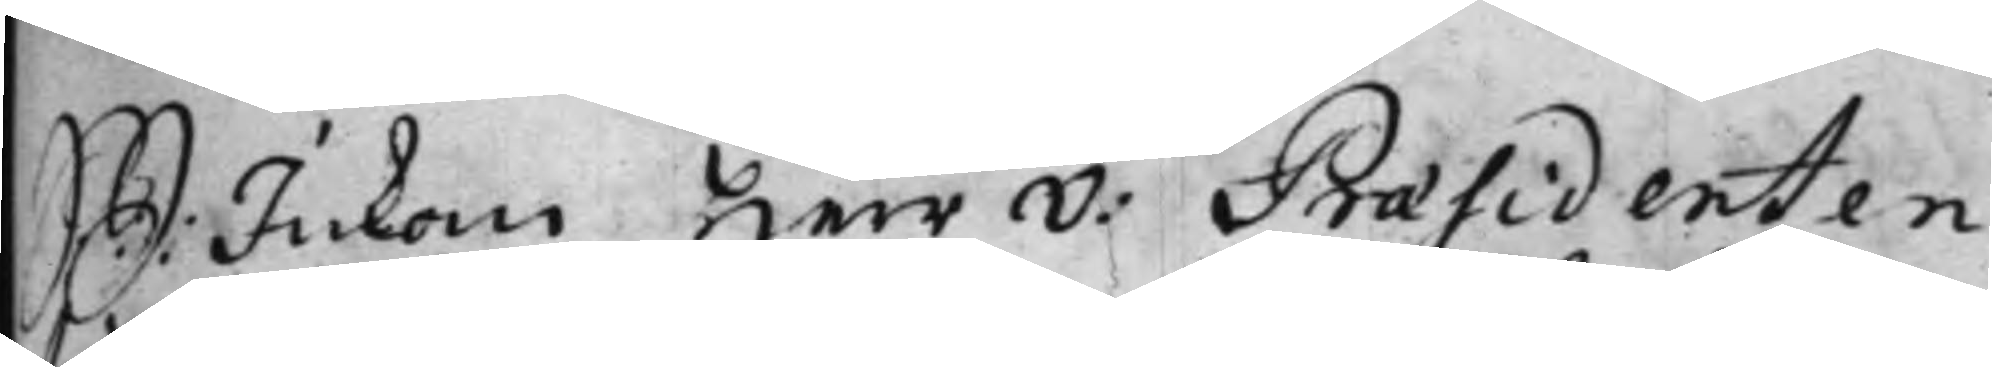S: d: Inkom Herr v: Praesidenten
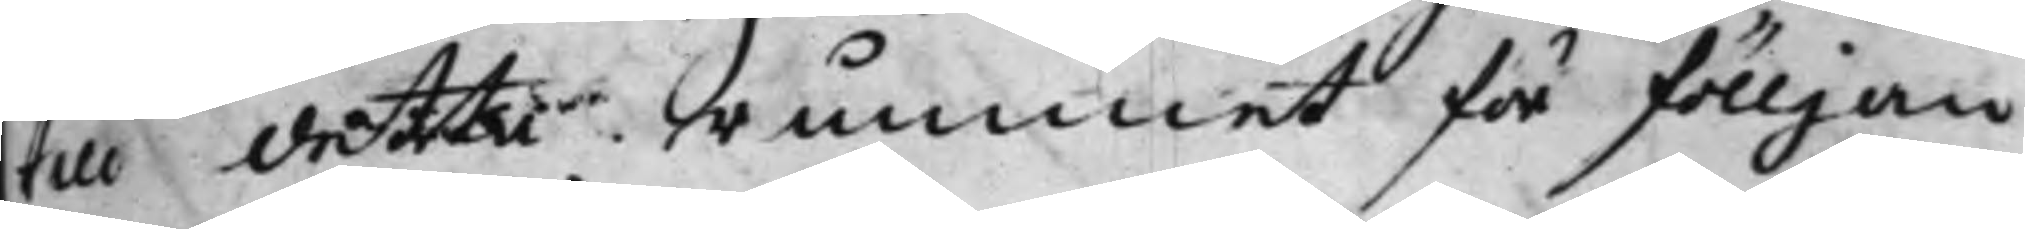i detta Rummet för fölljan¬
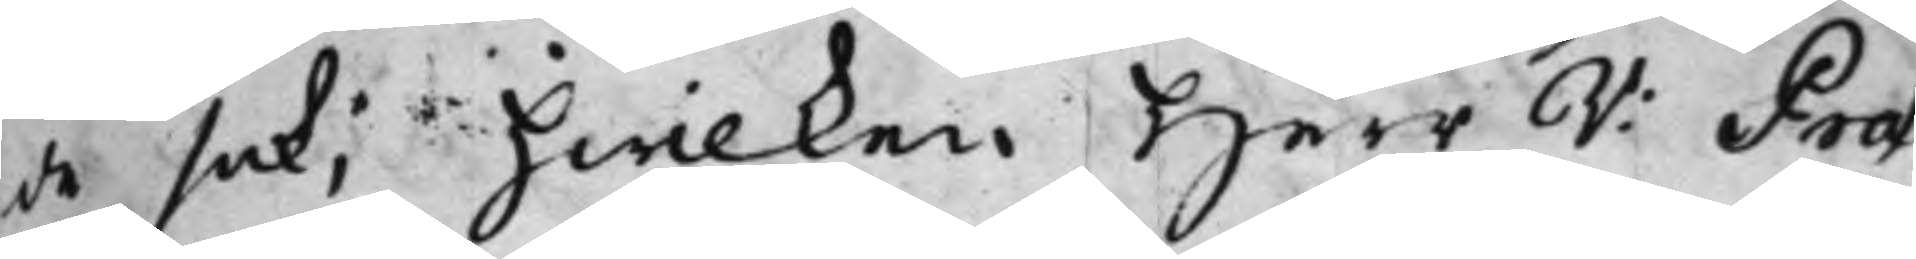de sak; hwilken Herr V: Prae¬
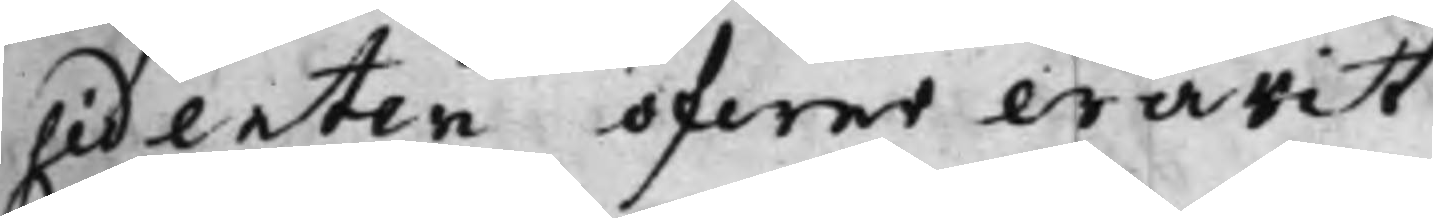sidenten öfwerwarit.
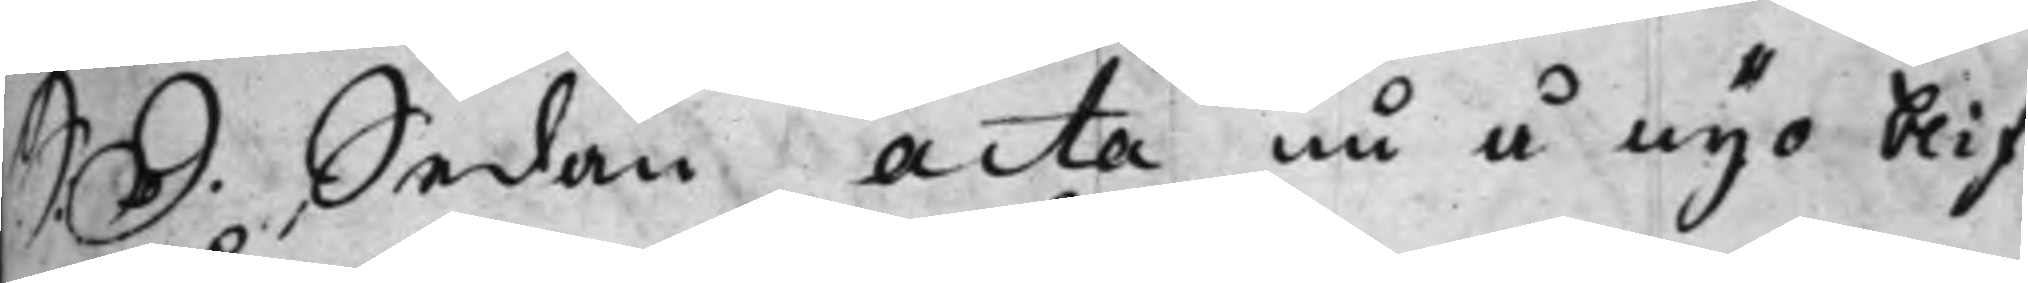S: d. Sedan acta nu å nyo blif¬
